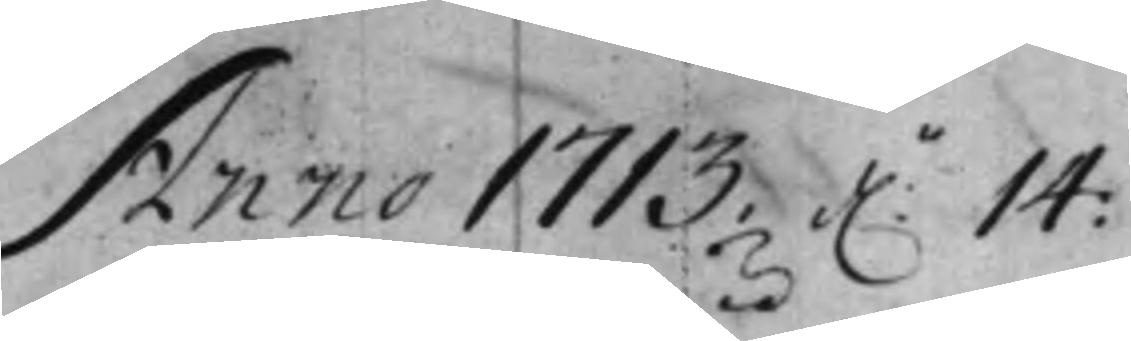Anno 1713 d. 14
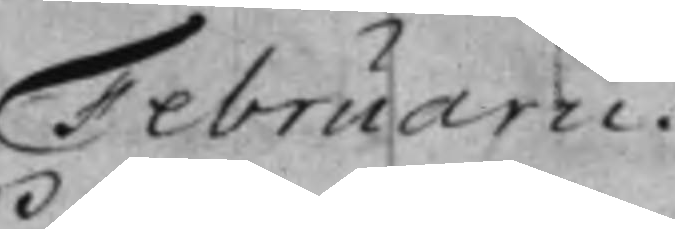Februarii.
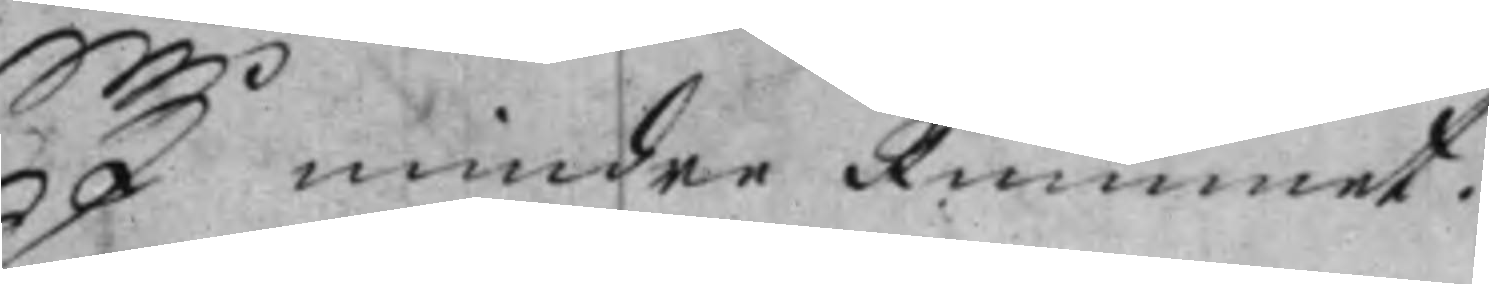I mindre Rummet.
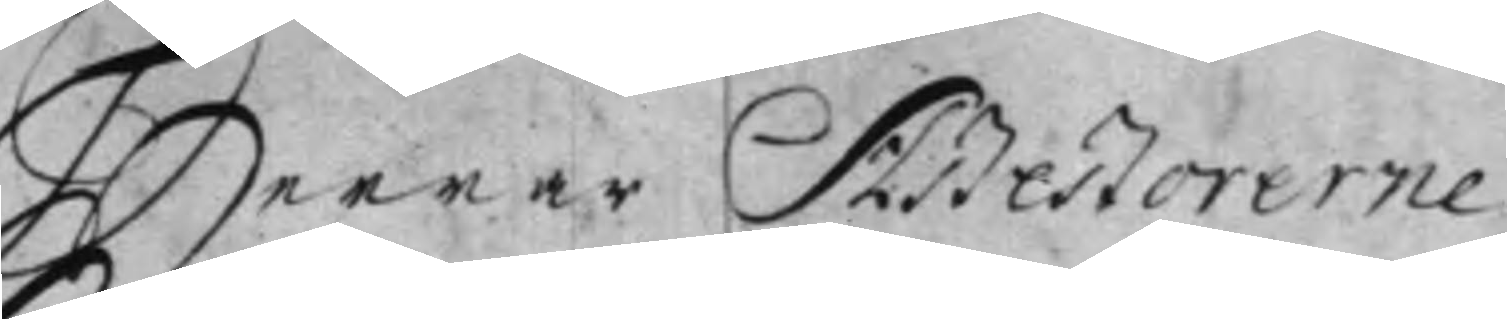Herrar Aßeßorerne
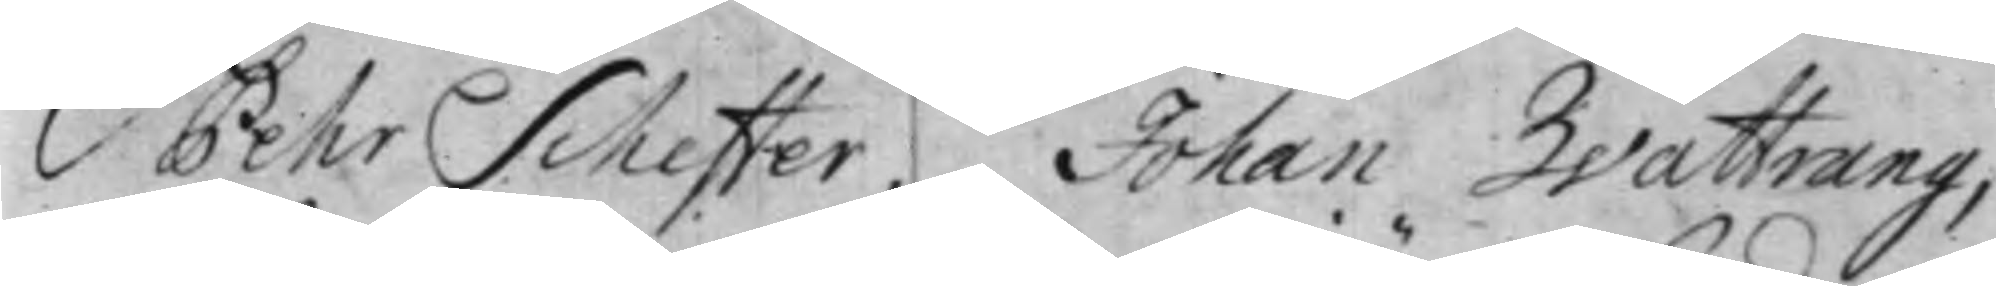Pehr Scheffer, Johan Wattrang,
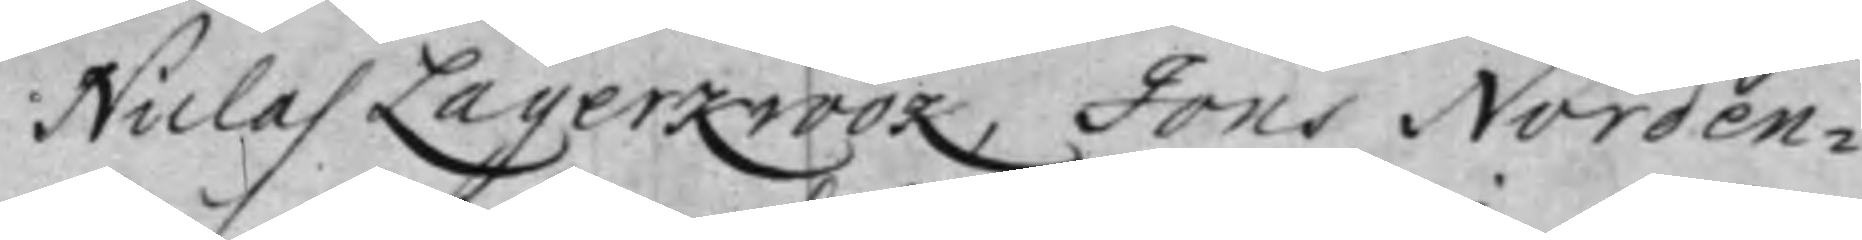Niclas Lagerkrook, Jöns Norden¬
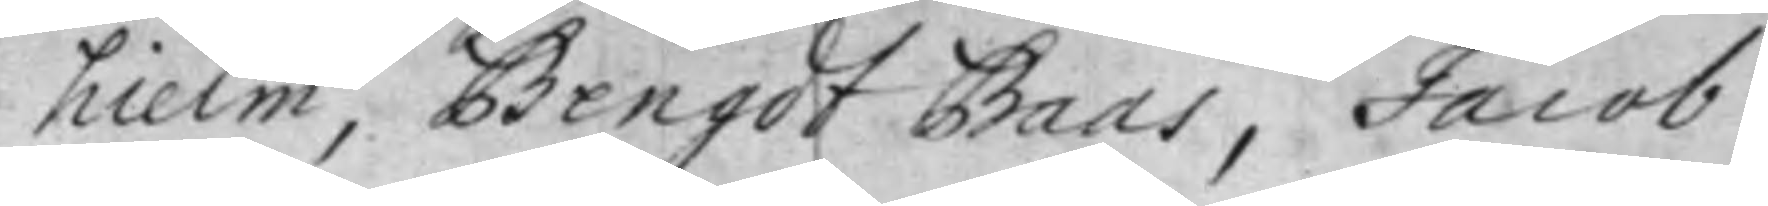hielm, Bengdt Baas, Jacob
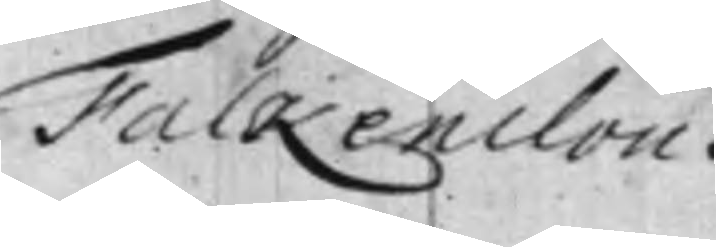Falkenclou.
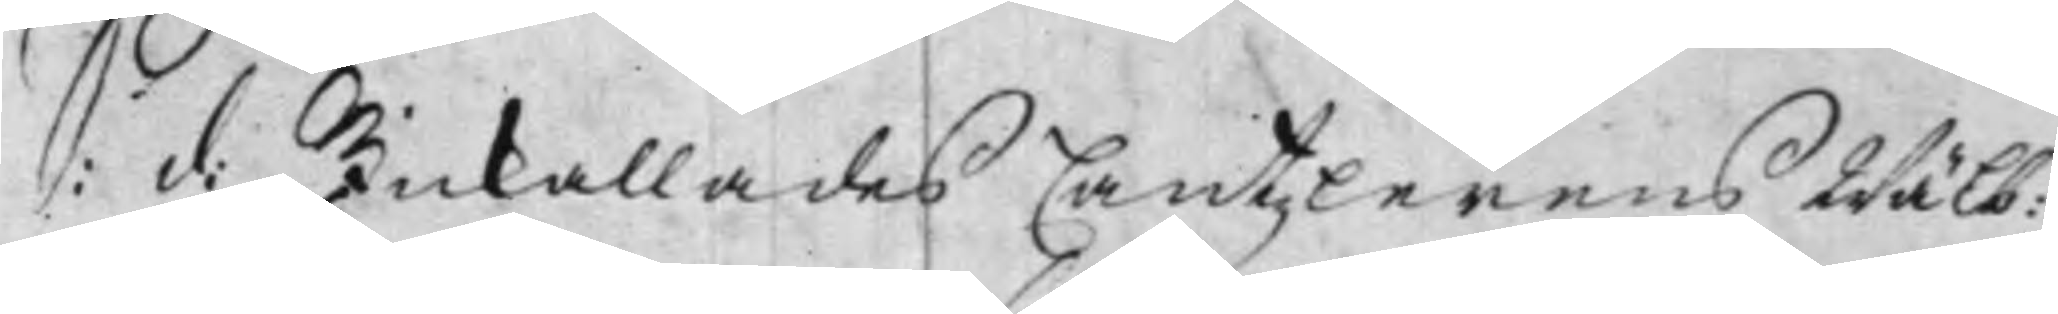S: d: Inkallades Cantzlerens Wälb:
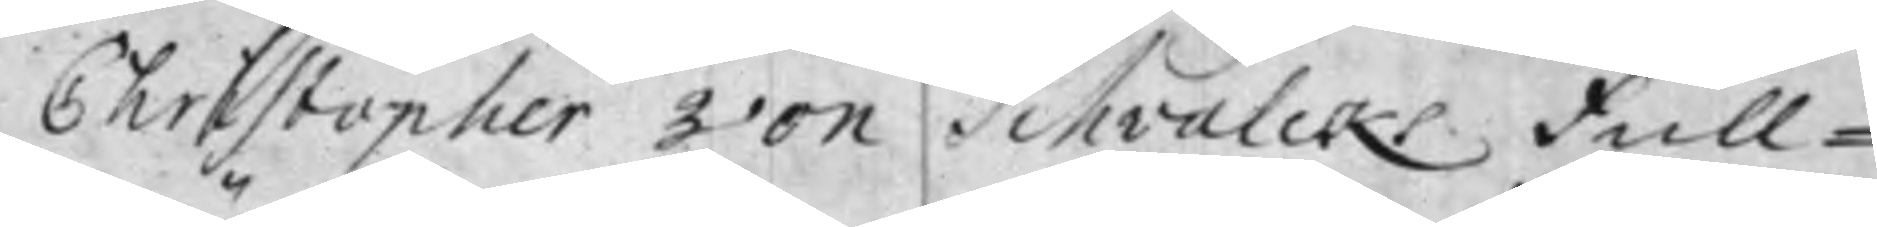Christopher von Schvalcks Full¬
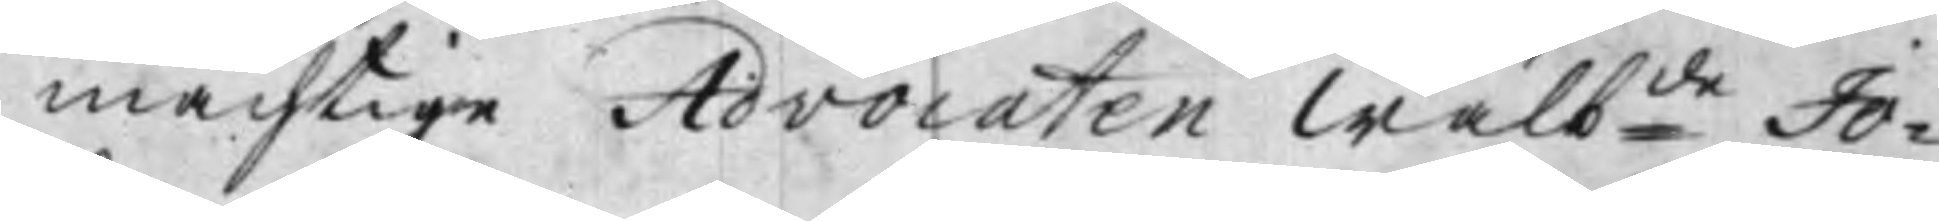mächtige Advocaten Wälbde Jo¬
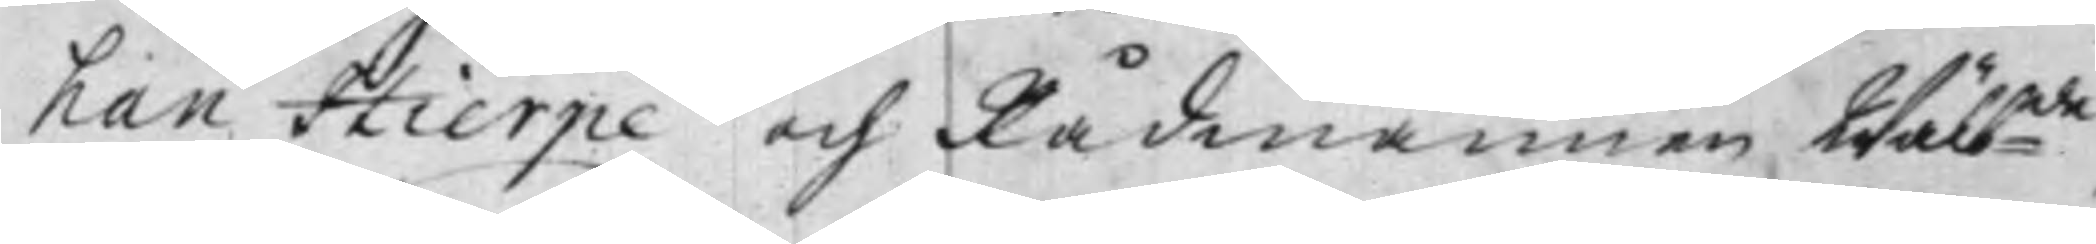han Hierpe och Rådmannen Wälbde
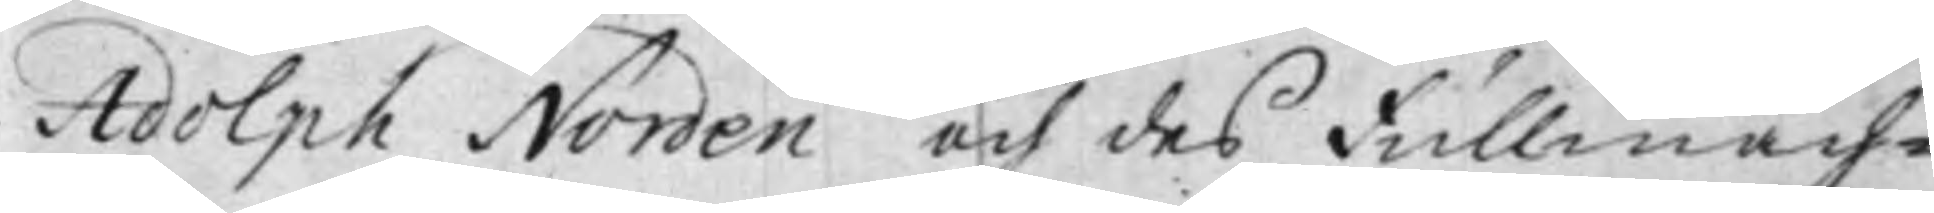Adolph Norden och des Fullmäch¬
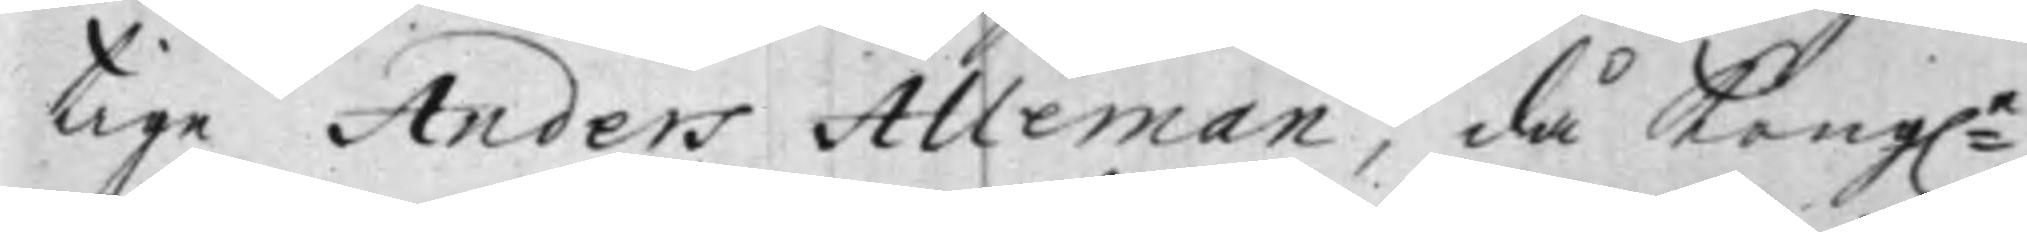tige Anders Alleman, då Kongle
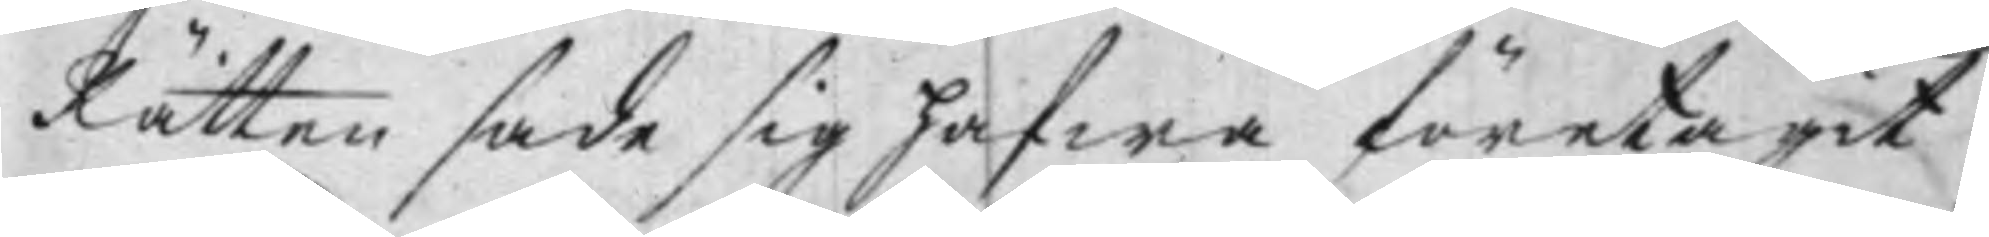Rätten sade sig hafwa företagit
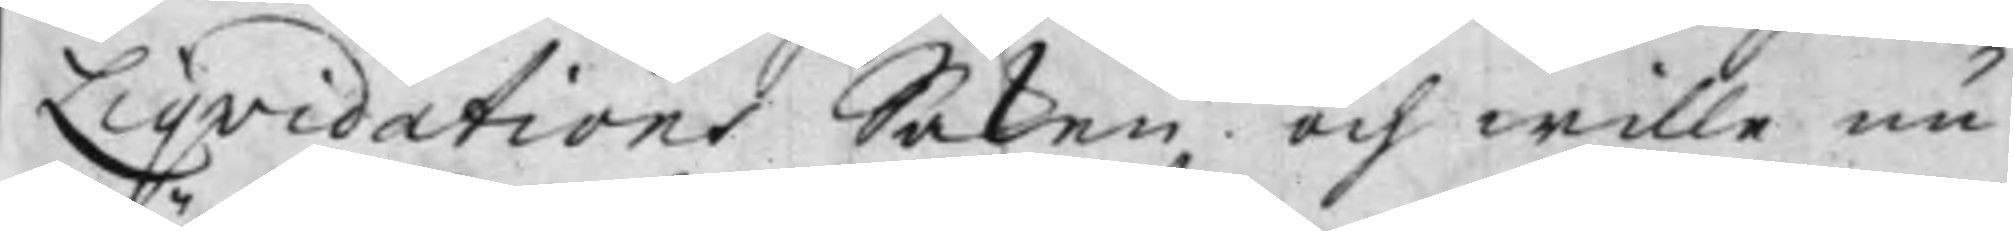Liqvidations Saken och wille nu
